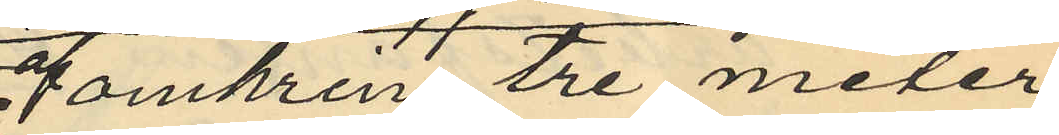omkring tre meter
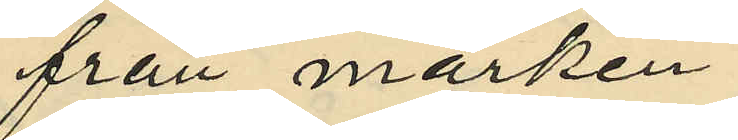från marken
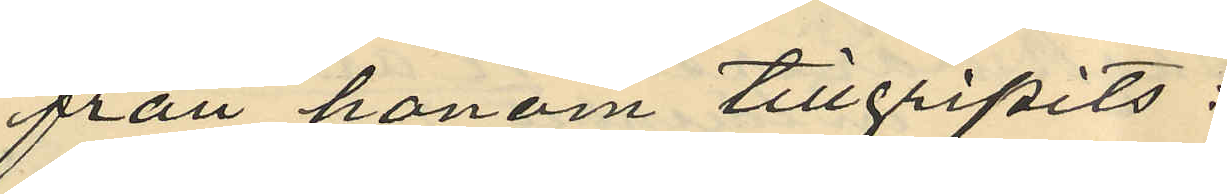från honom tillgripits:
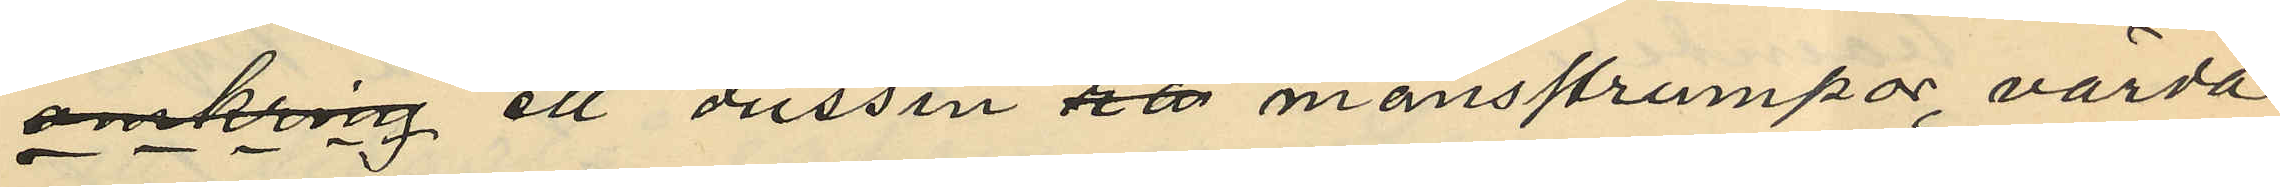omkring ett dussin mansstrumpor, värda
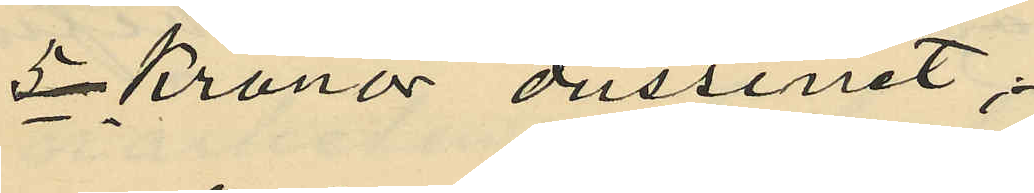5 Kronor dussinet;
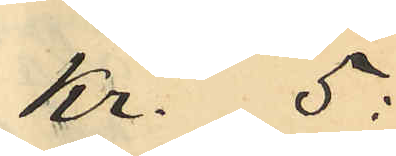Kr. 5:
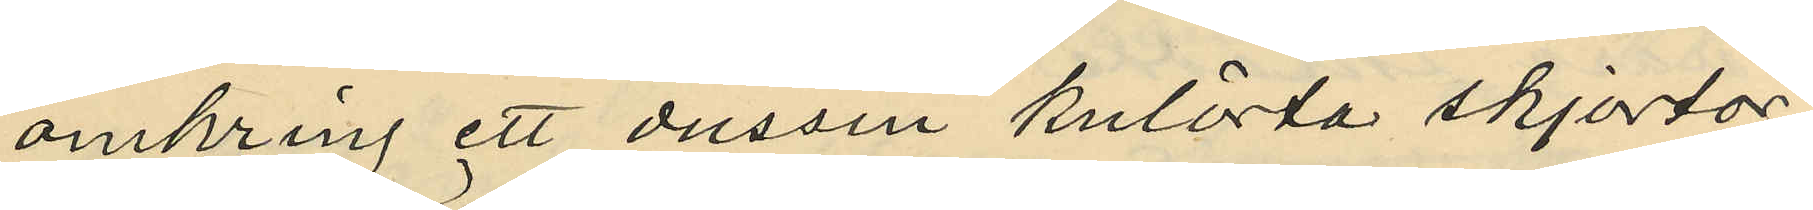omkring ett dussin kulörta skjortor
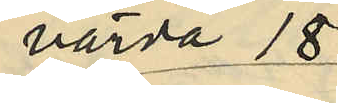värda 18
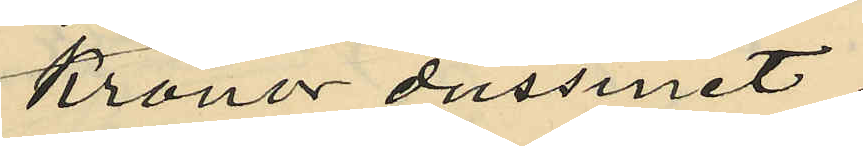Kronor dussinet;
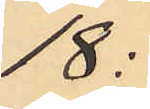18:
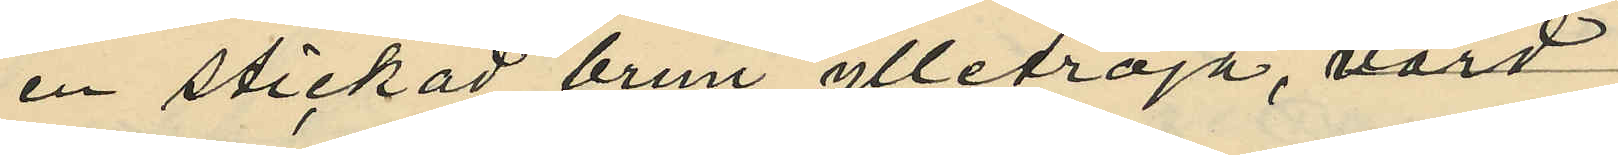en stickad brun ylletröja, värd
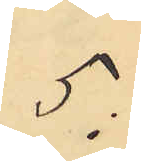5:
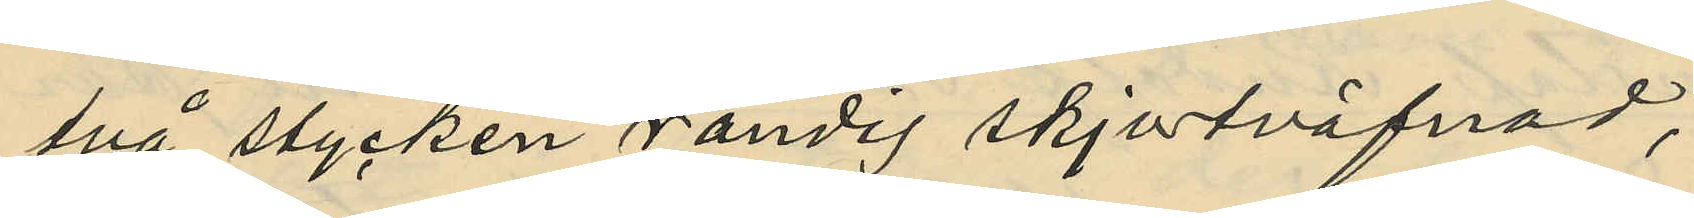två stycken randig skjortväfnad,
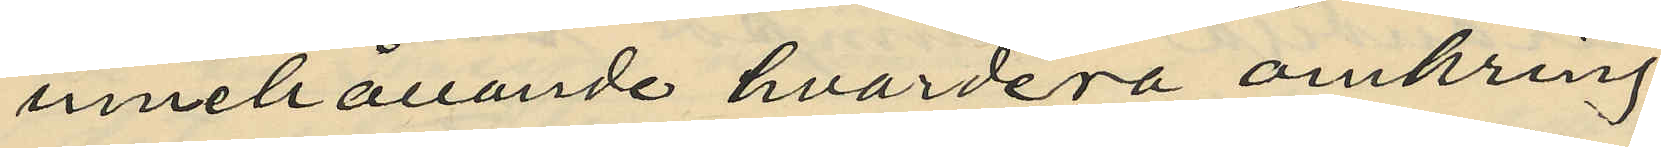innehållande hvardera omkring
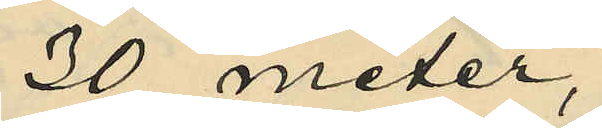30 meter,
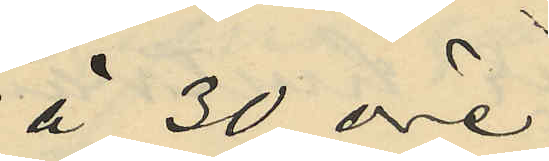á 30 öre
